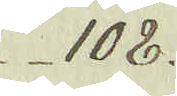108.
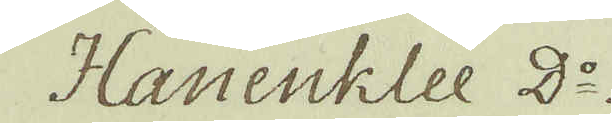Hanenklee D:o
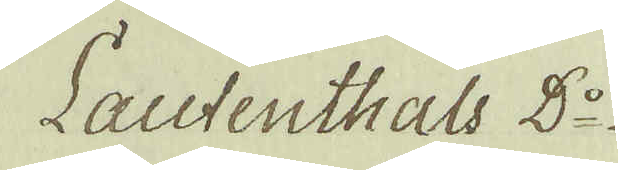Lautenthals D:o
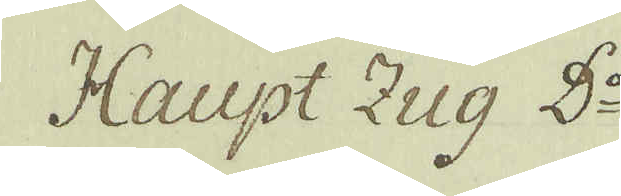Haupt Zug D:r
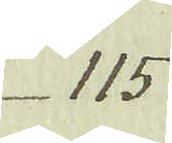115
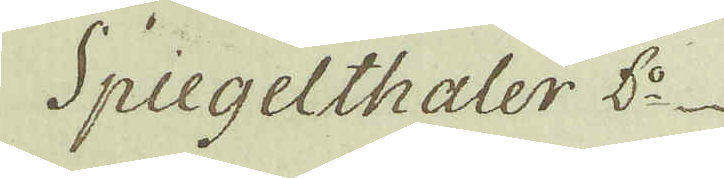Spiegelthaler d:o
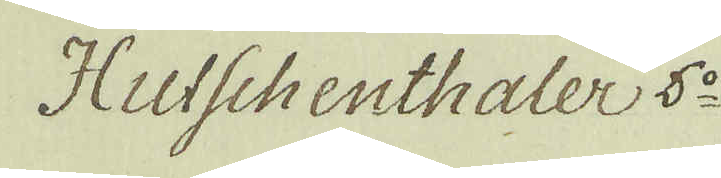Hutschenthaler 5:o
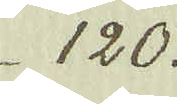120.
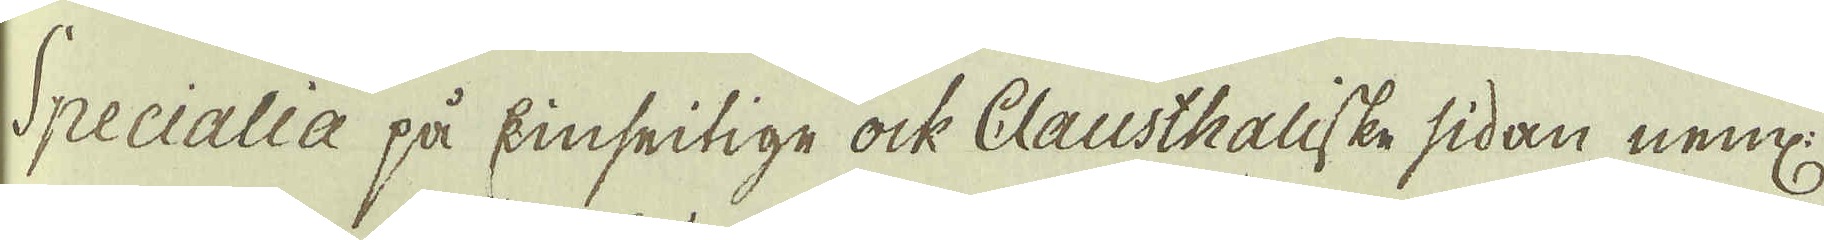Specialia på kinseitige ock Clausthaliske sidan neml:
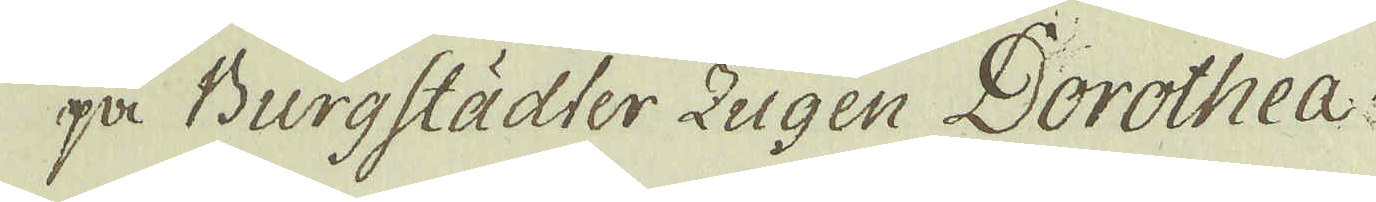på Burgstädter Zugen Dorothea.
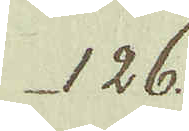126.
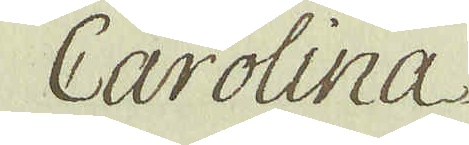Carolina
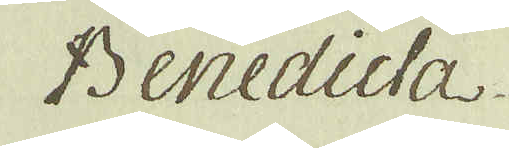Benedicta
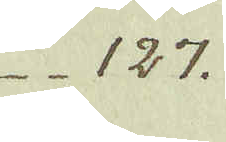127.
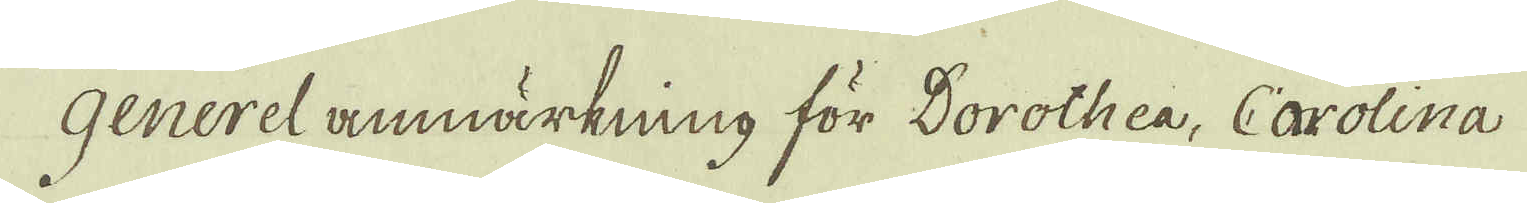Generel anmärkning för Dorothea, Carolina
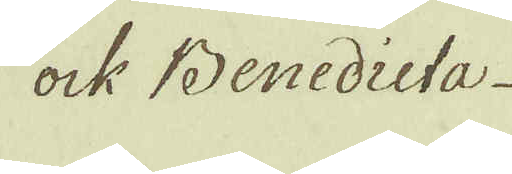ock Benedicta
